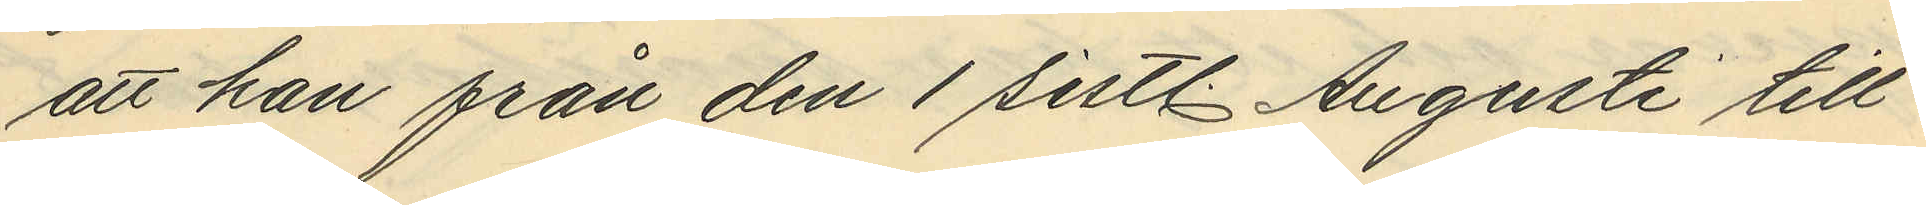att han från den 1 sistl. Augusti till
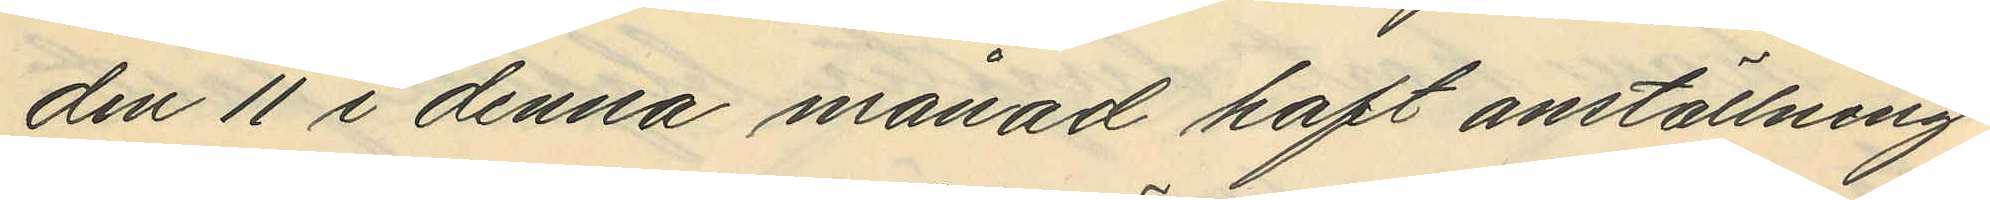den 11 i denna månad haft anställning
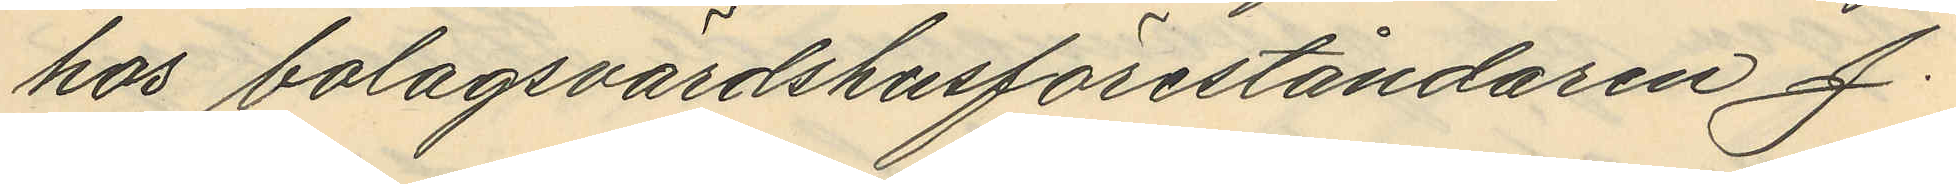hos bolagsvärdshusföreståndaren J.
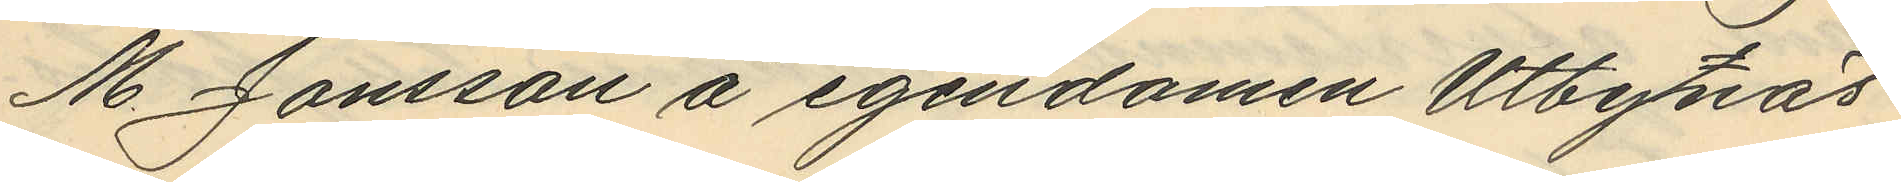M. Jonsson å egendomen Utbynäs
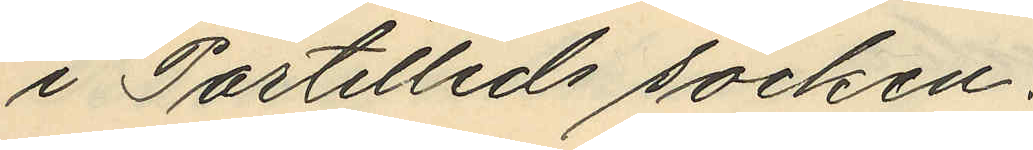i Partilleds socken.
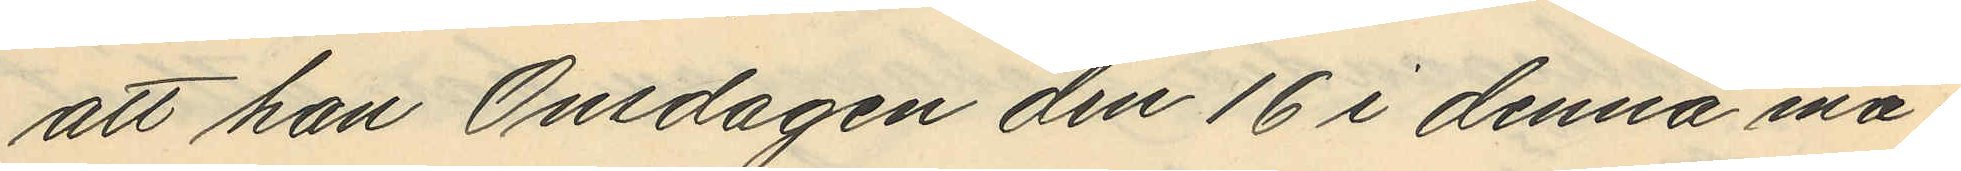att han Onsdagen den 16 i denna må¬
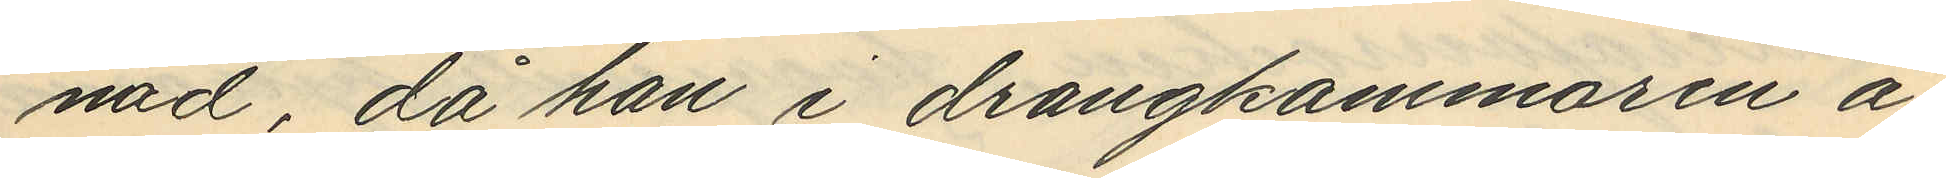nad, då han i drängkammaren å
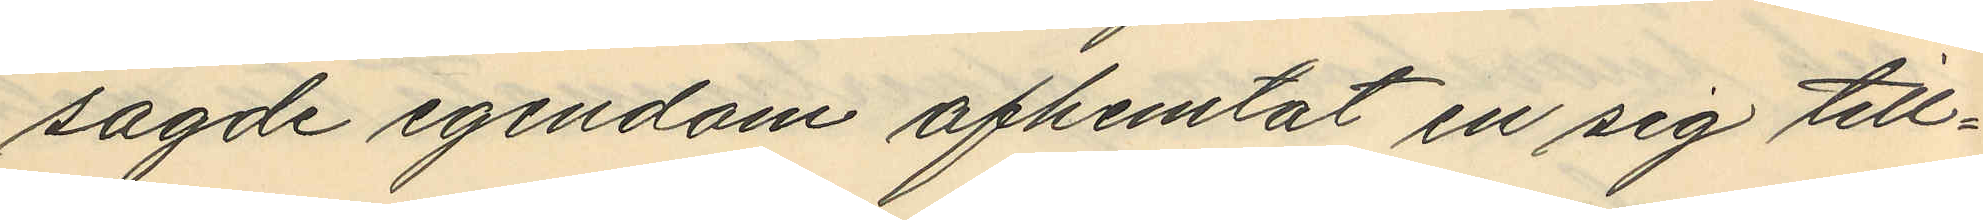sagde egendom afhemtat en sig till¬
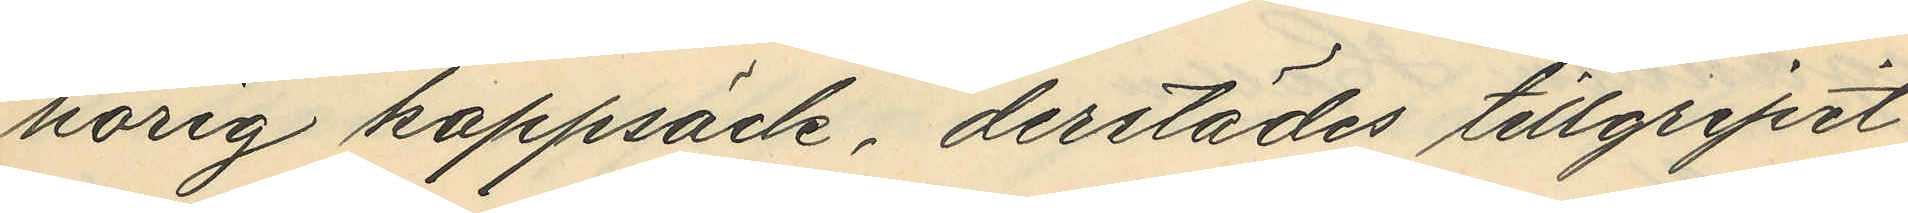hörig kappsäck, derstädes tillgripit
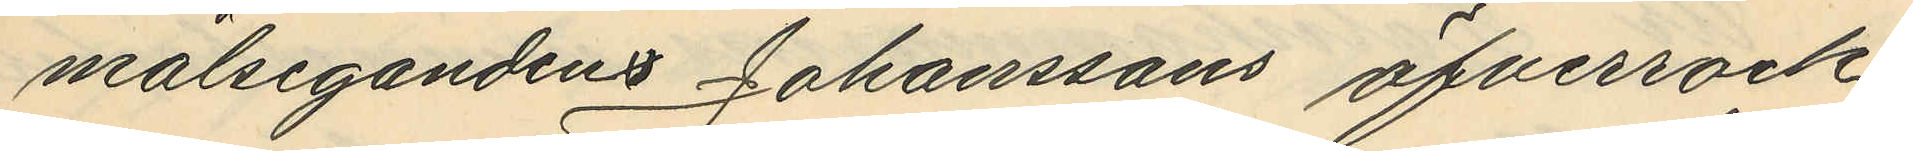målsegandens Johanssons öfverrock
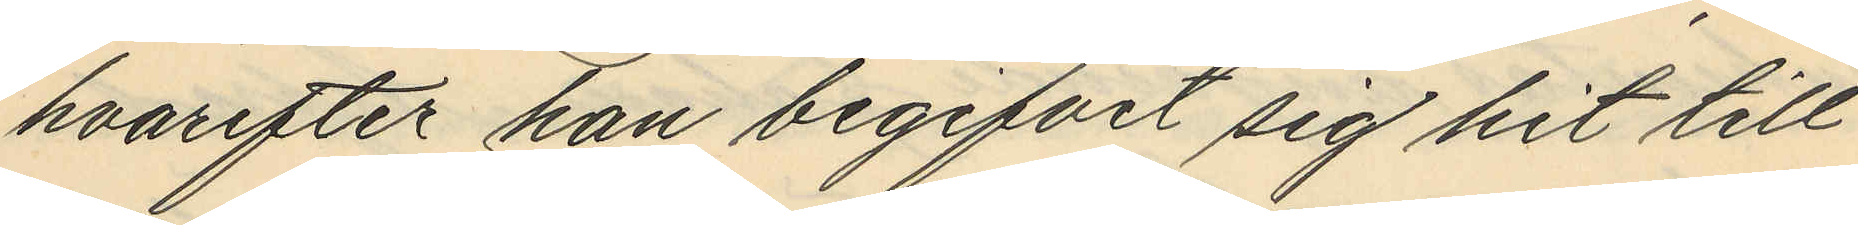hvarefter han begifvit sig hit till
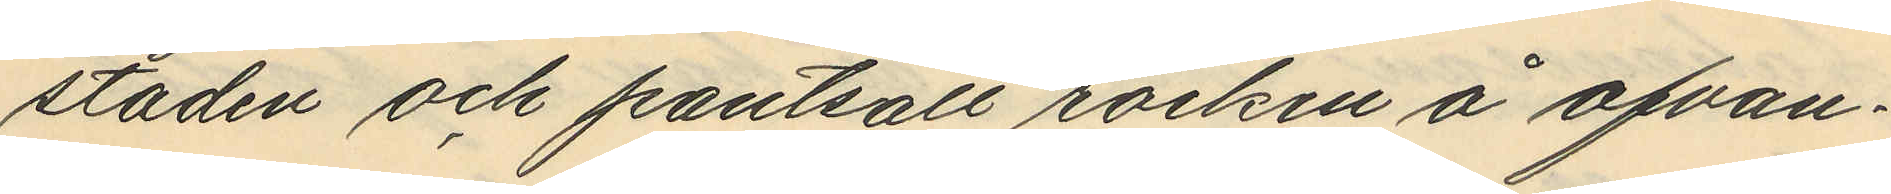staden och pantsatt rocken å ofvan¬
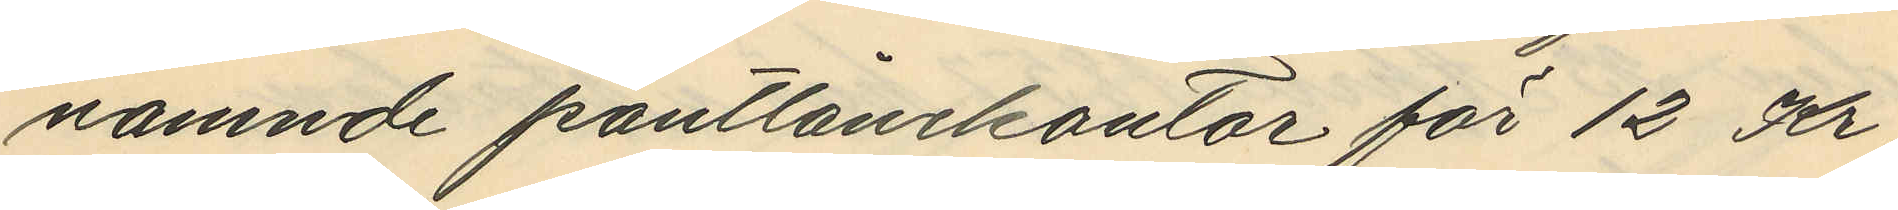nämnde pantlånekontor för 12 Kr
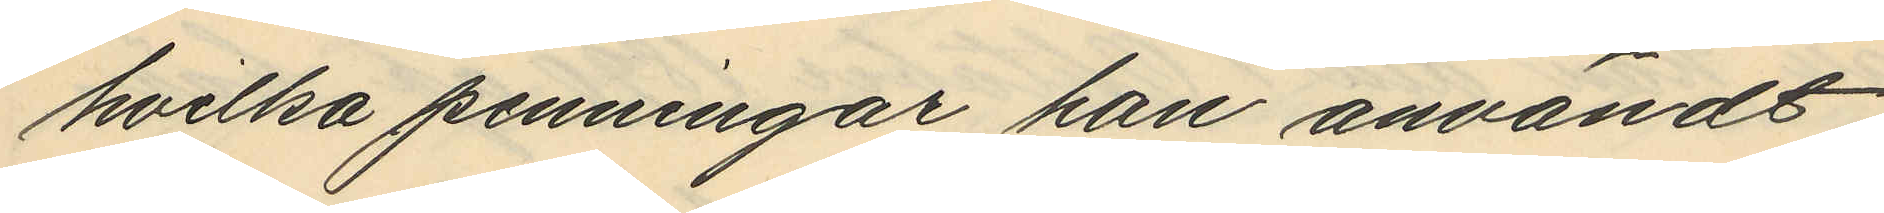hvilka penningar han användt
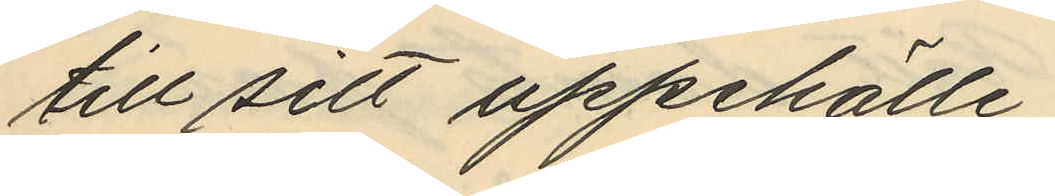till sitt uppehälle;
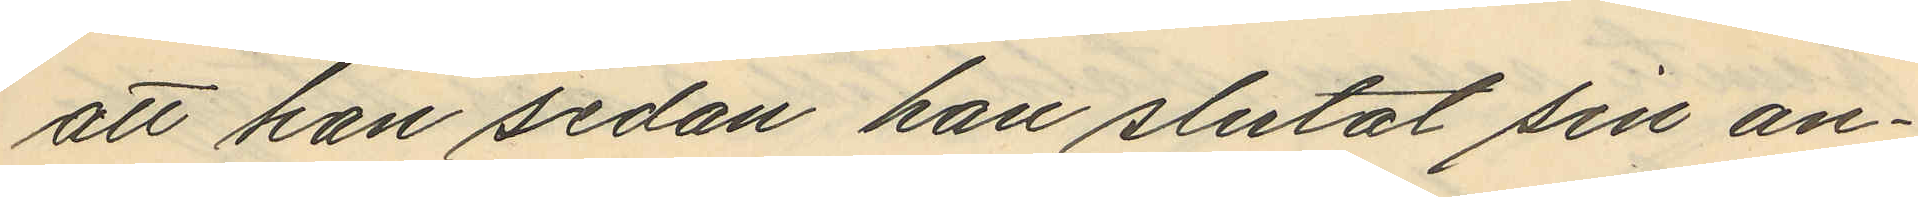att han sedan han slutat sin an¬
